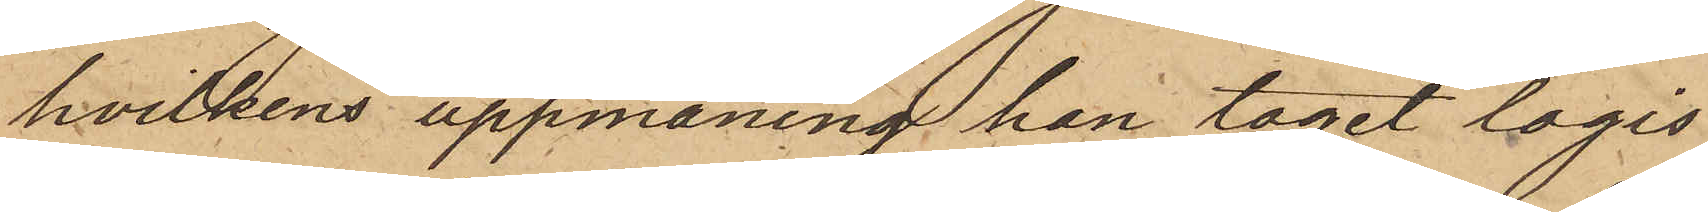hvilkens uppmaning han tagit logis
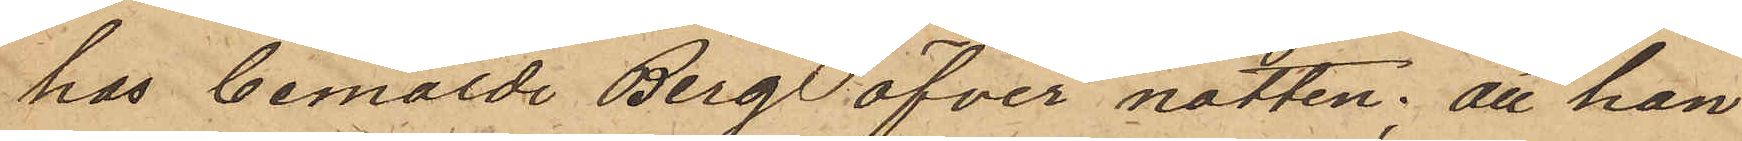hos bemälde Berg öfver natten; att han
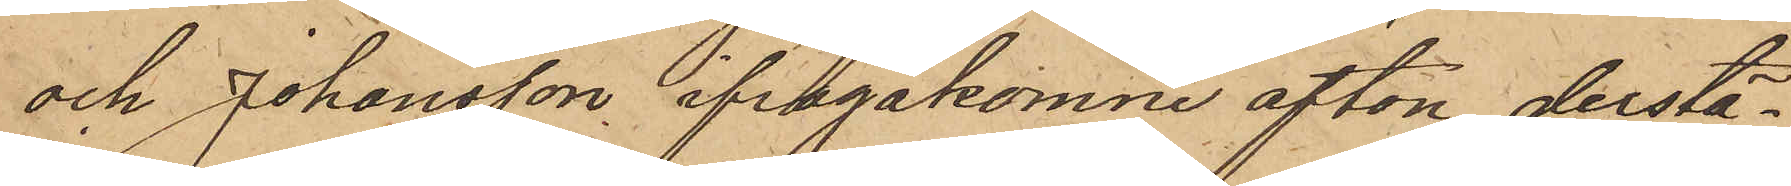och Johansson ifrågakomne afton derstä¬
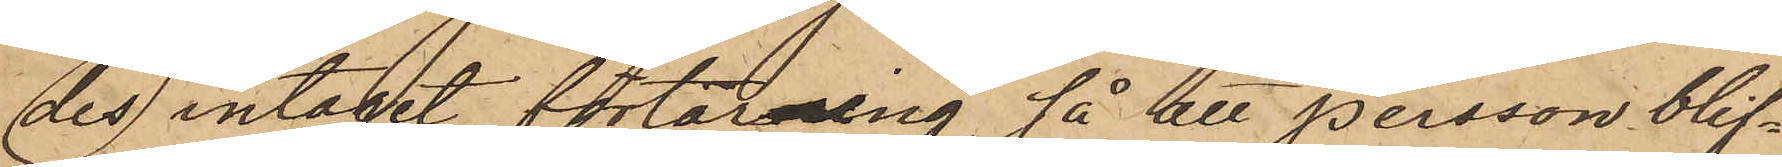des intagit förtärning, så att Persson blif¬
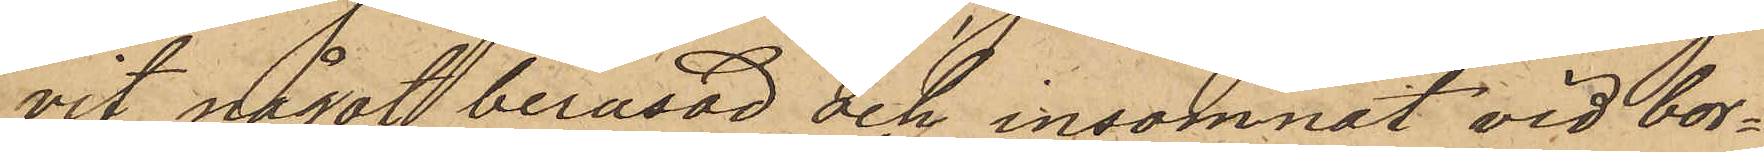vit något berusad och insomnat vid bor¬
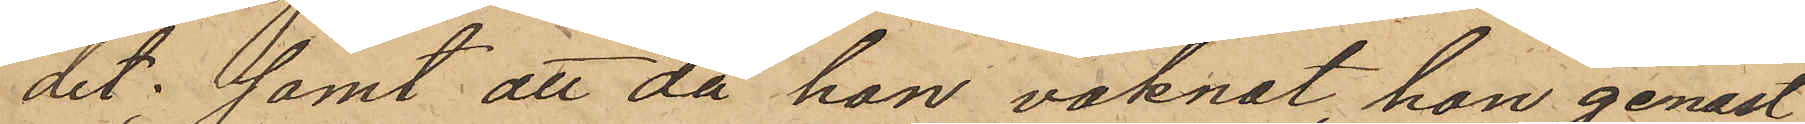det; samt att då han vaknat, han genast
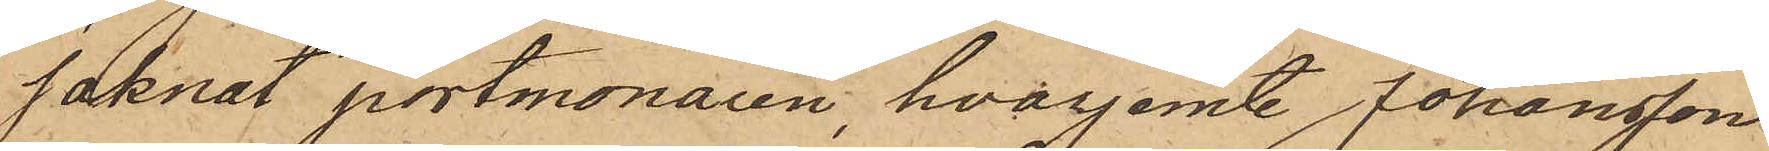saknat portmonaien, hvarjemte Johansson
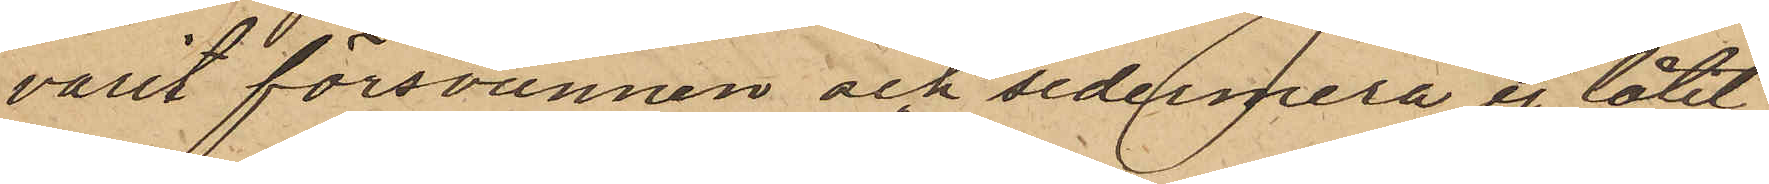varit försvunnen och sedermera ej låtit
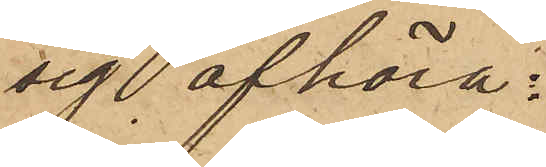sig afhöra.
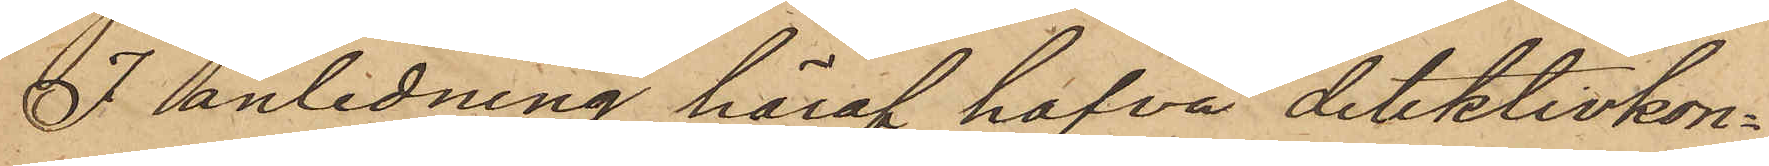I anledning häraf hafva detektivkon¬
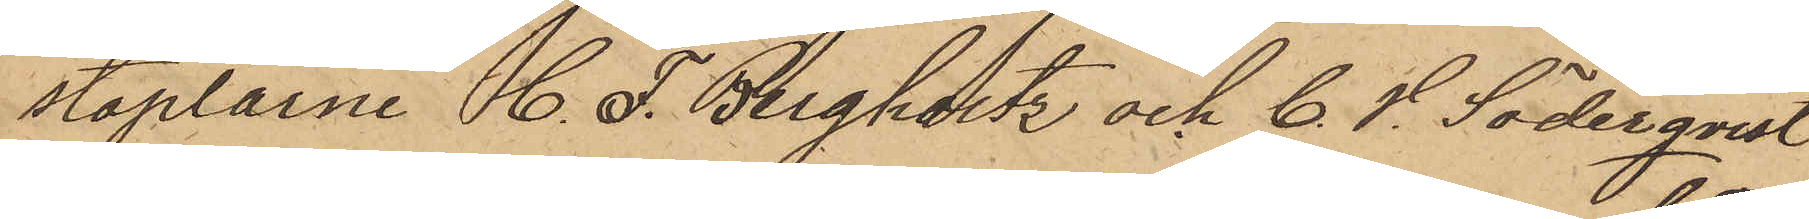staplarne C. F. Bergholtz och C. V. Söderqvist
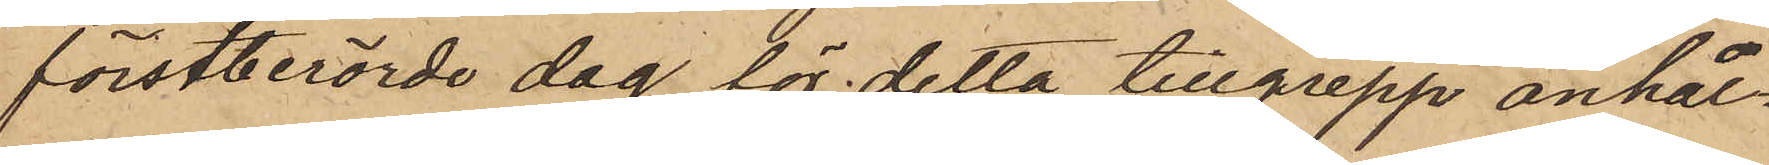förstberörde dag för detta tillgrepp anhål¬
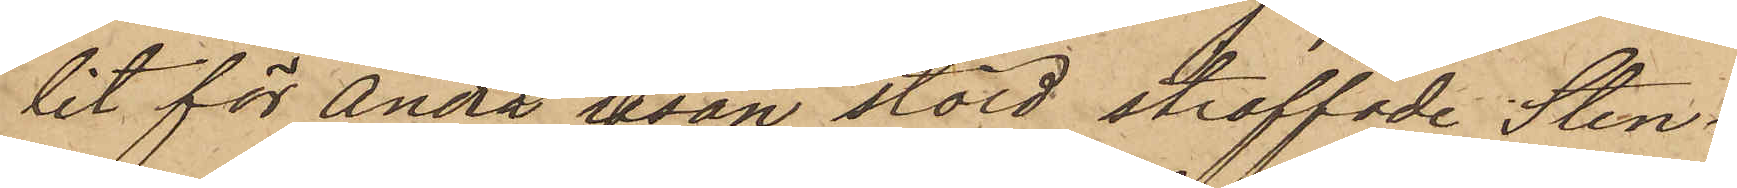lit för Andra resan stöld straffade Sten¬
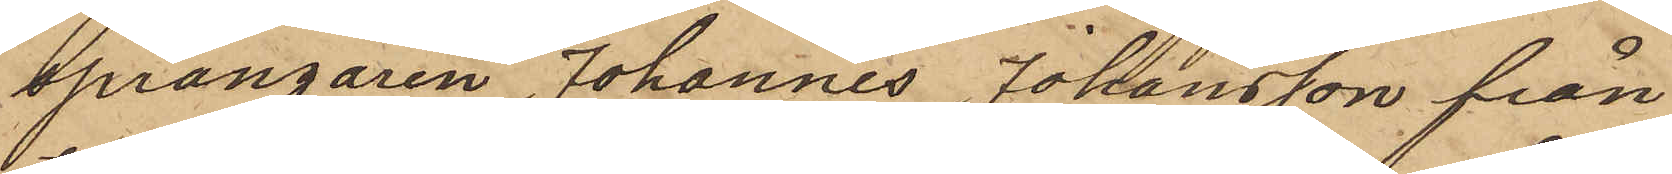sprängaren Johannes Johansson från
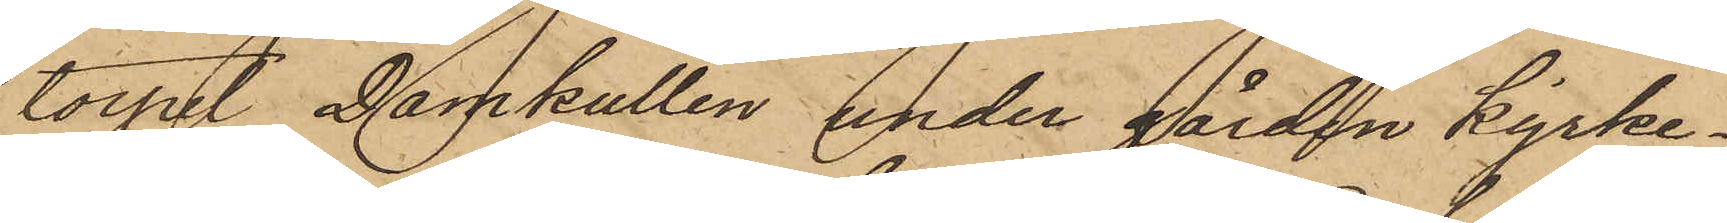torpet Damkullen under gården Kyrke¬
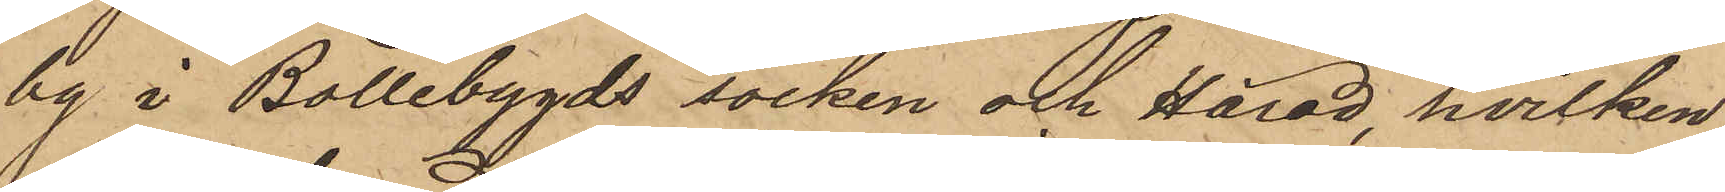by i Bollebygds socken och Härad, hvilken
